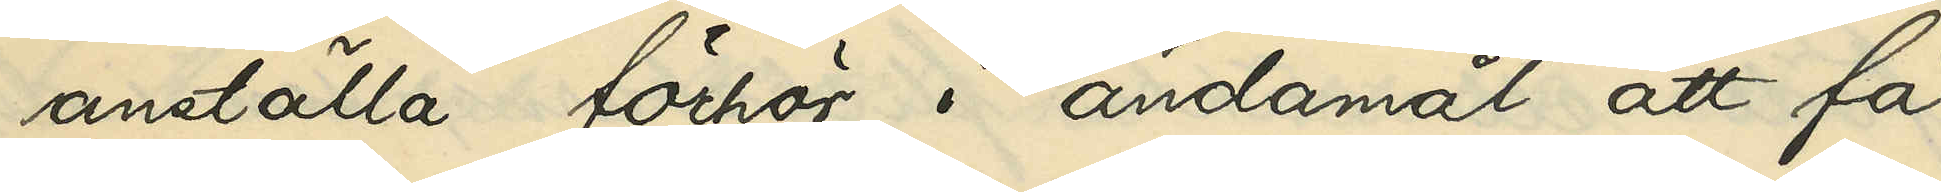anställa förhör i ändamål att få
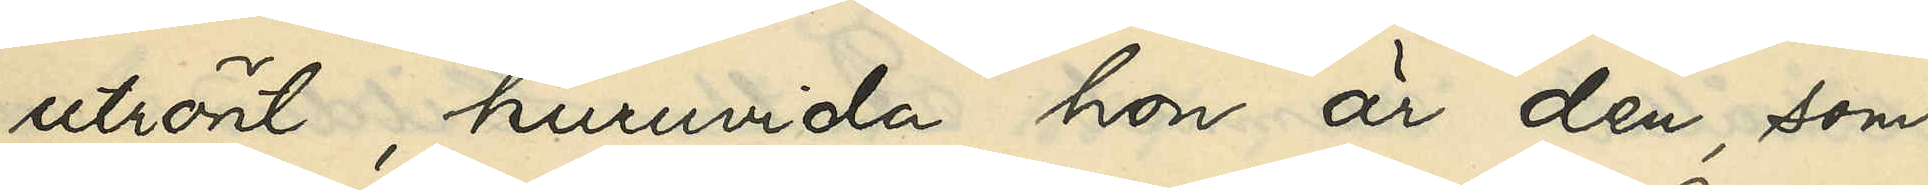utrönt, huruvida hon är den, som
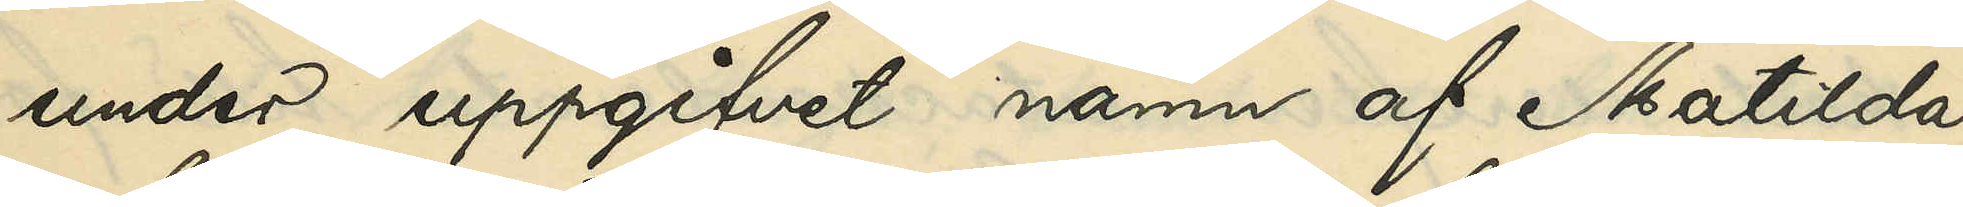under uppgifvet namn af Mathilda
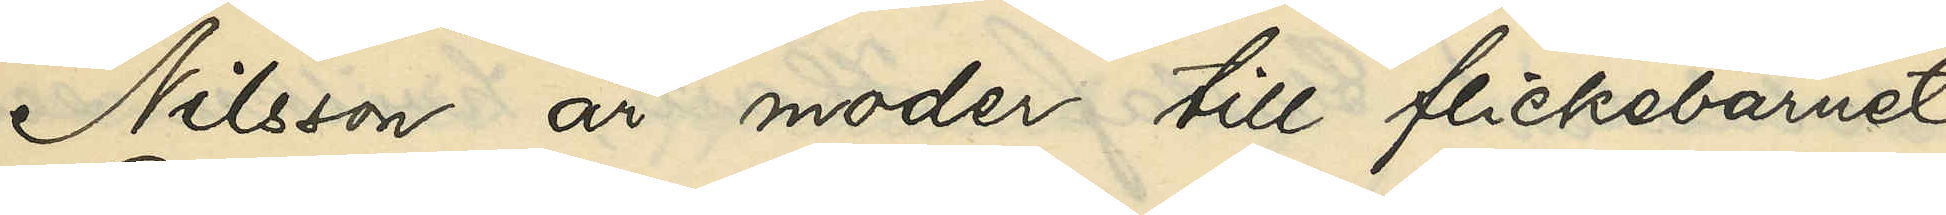Nilsson är moder till flickebarnet
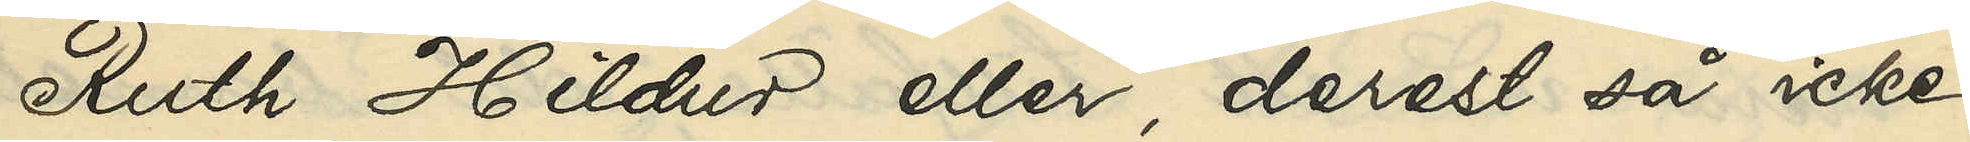Ruth Hildur eller, derest så icke
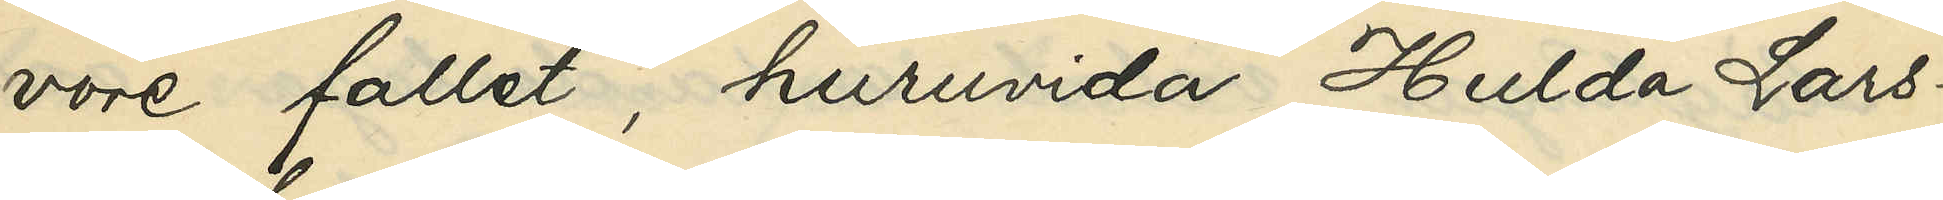vore fallet, huruvida Hulda Lars¬
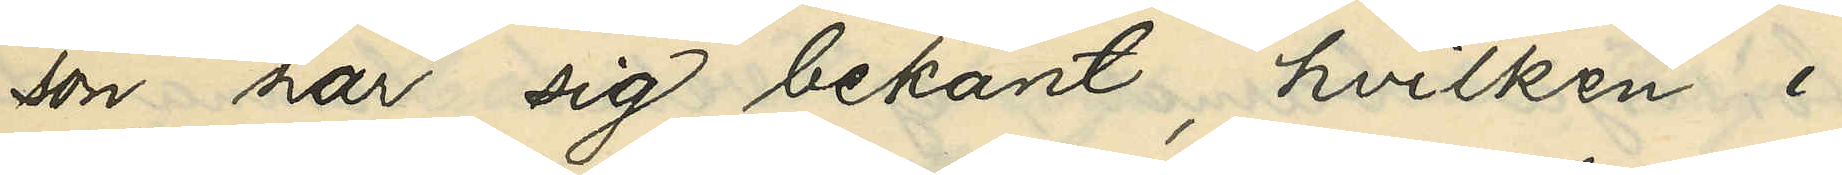son har sig bekant, hvilken i
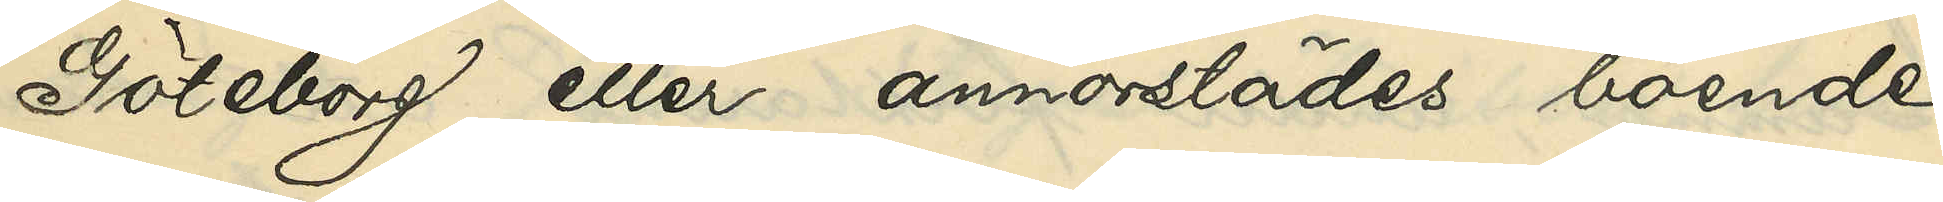Göteborg eller annorstädes boende
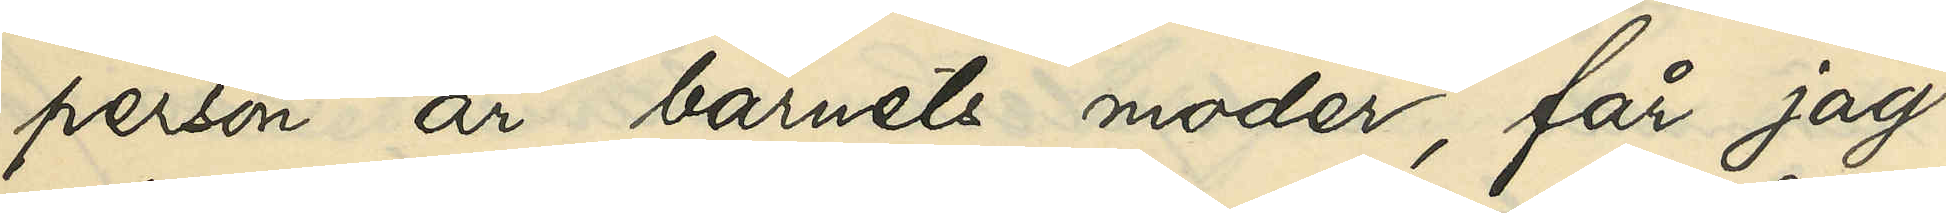person är barnets moder, får jag
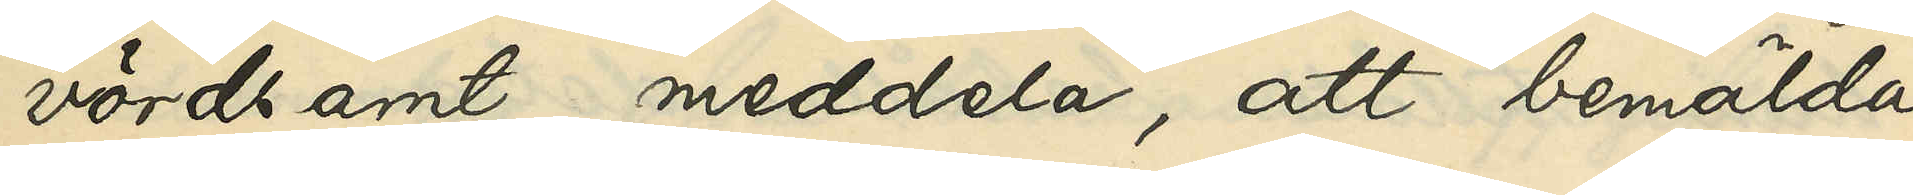vördsamt meddela, att bemälda
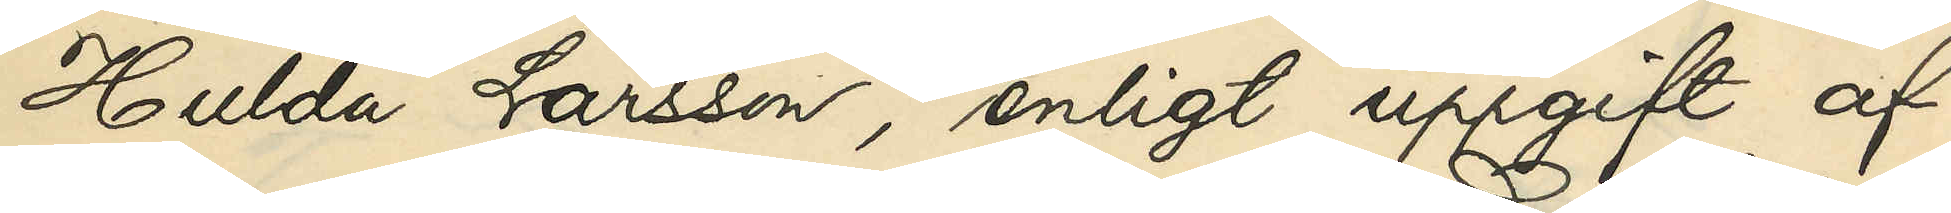Hulda Larsson, enligt uppgift af
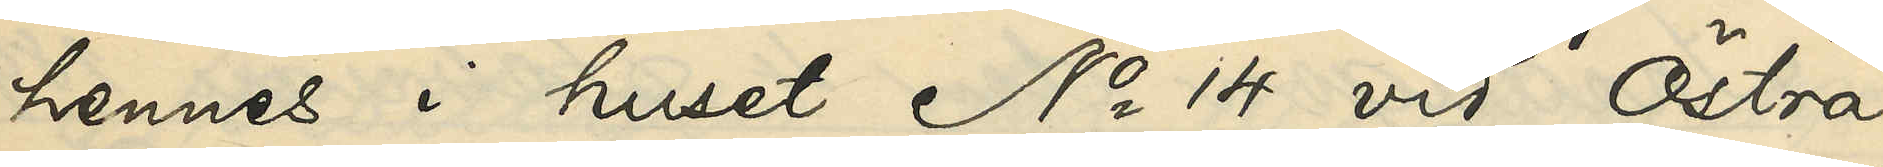hennes i huset No 14 vid Östra
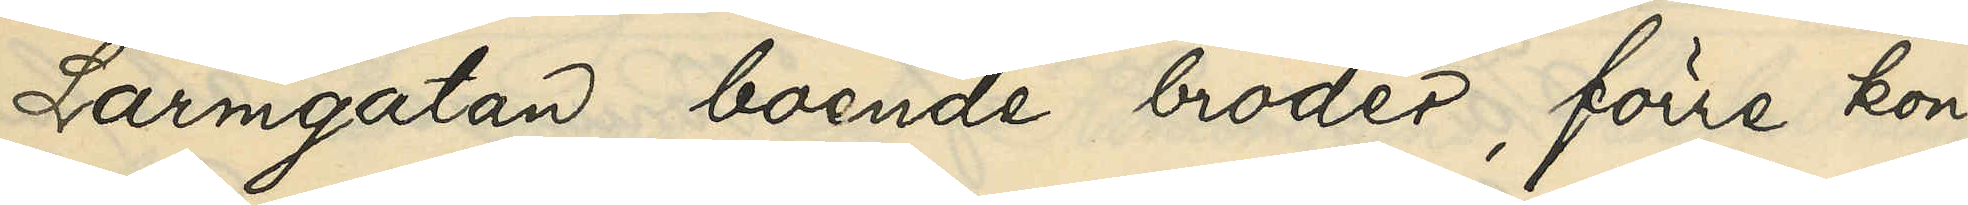Larmgatan boende broder, förre kon¬
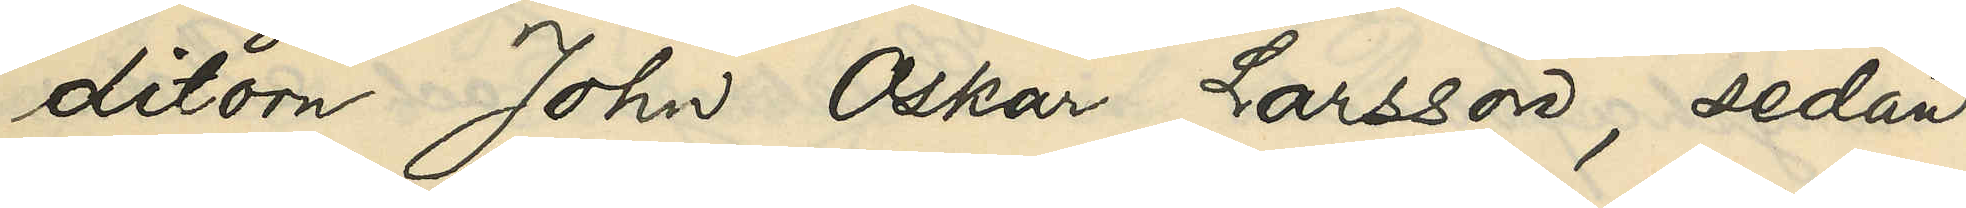ditorn Johan Oskar Larsson, sedan
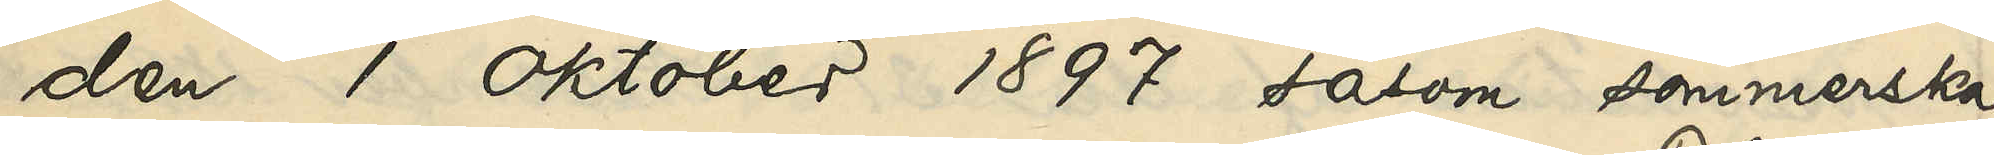den 1 Oktober 1897 såsom sömmerska
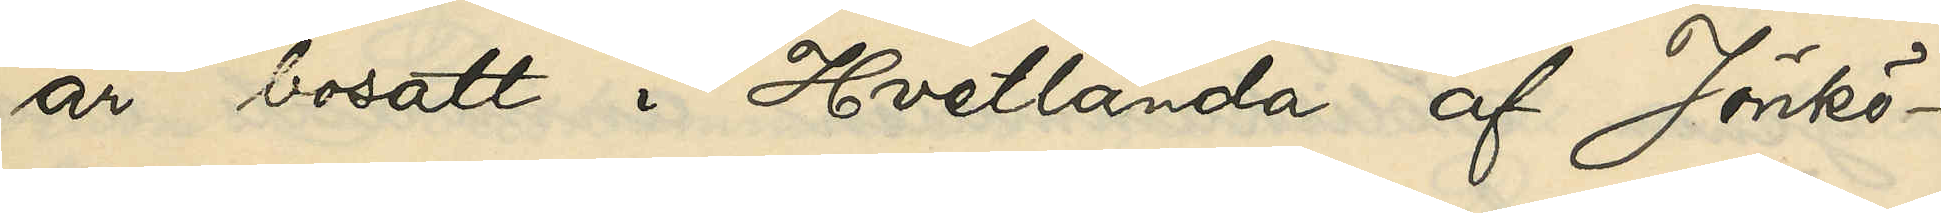är bosatt i Hvetlanda af Jönkö¬
